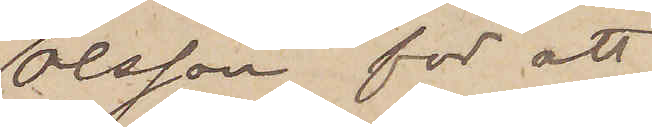Olsson för att
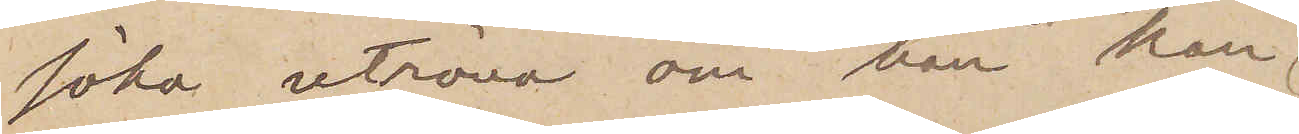söka utröna om han kan
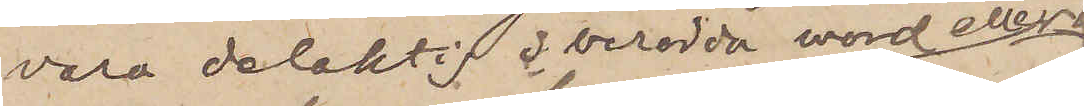vara delaktig i beröda mord eller
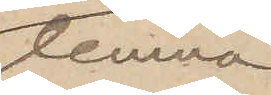lemna
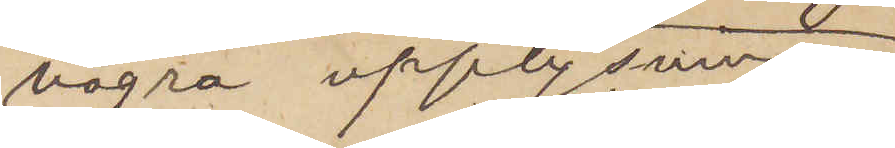några upplysningar
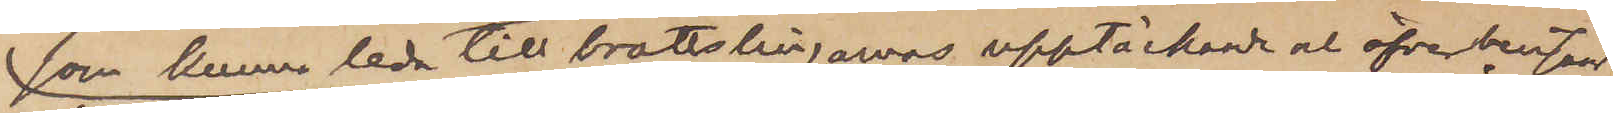som kunna leda till brottslingarnas upptäckande och öfverlämnade
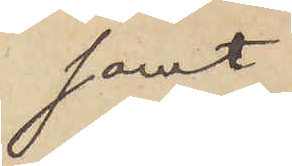samt
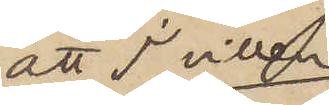att I villen
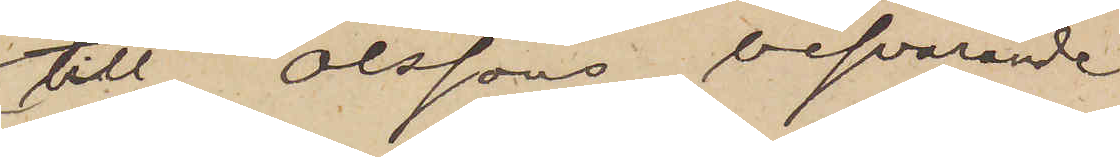till Olssons besvarande
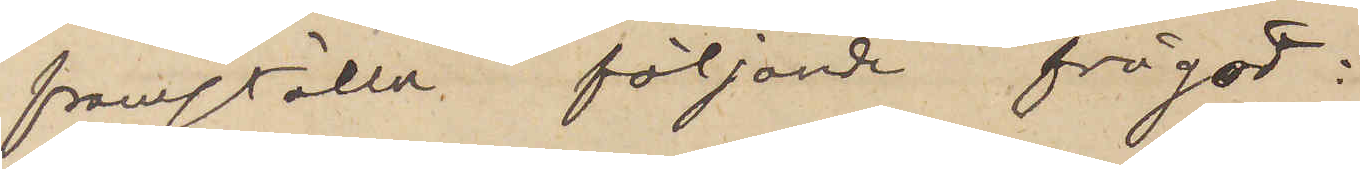framställa följande frågor:
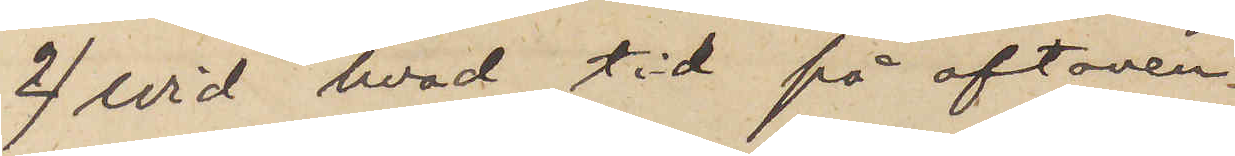2) vid hvad tid på aftonen
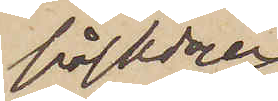påskdagen
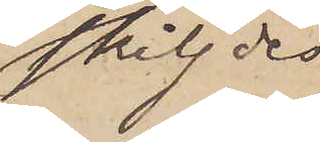skiljdes
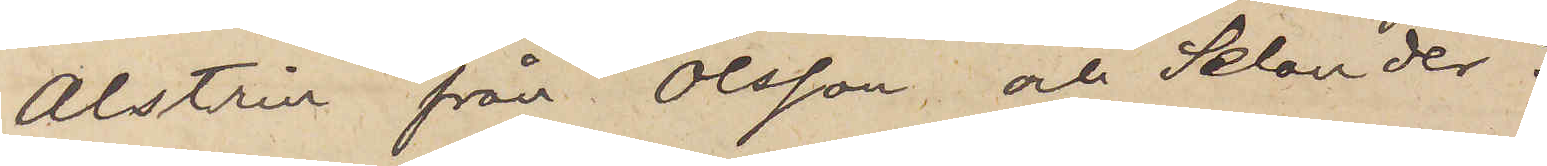Alstrin från Olsson och Selander?
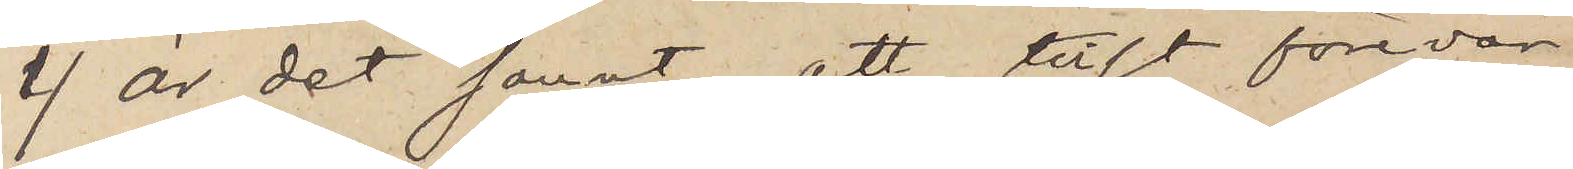1) är det sannt, att tillit förevar
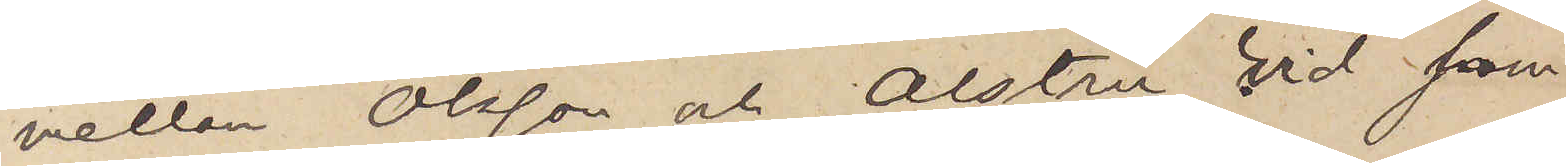mellan Olsson och Alstrin vid sam¬
